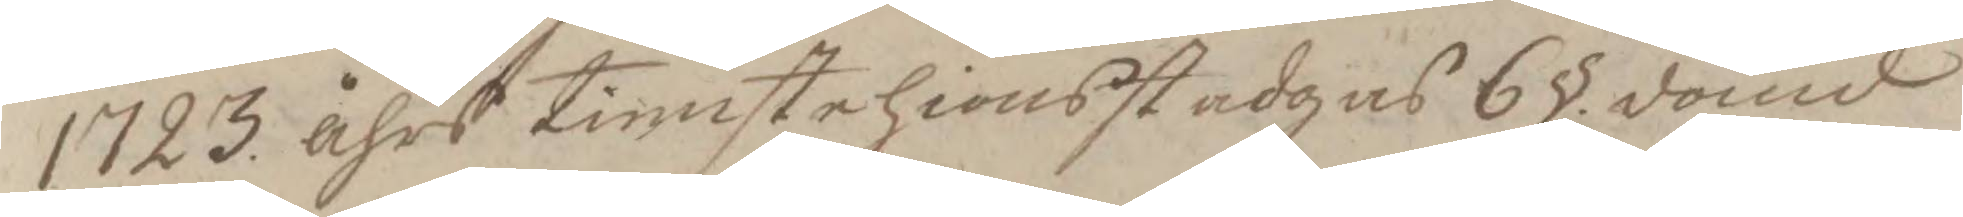1723. åhrs tienstehionsstadgas 6 § dömd
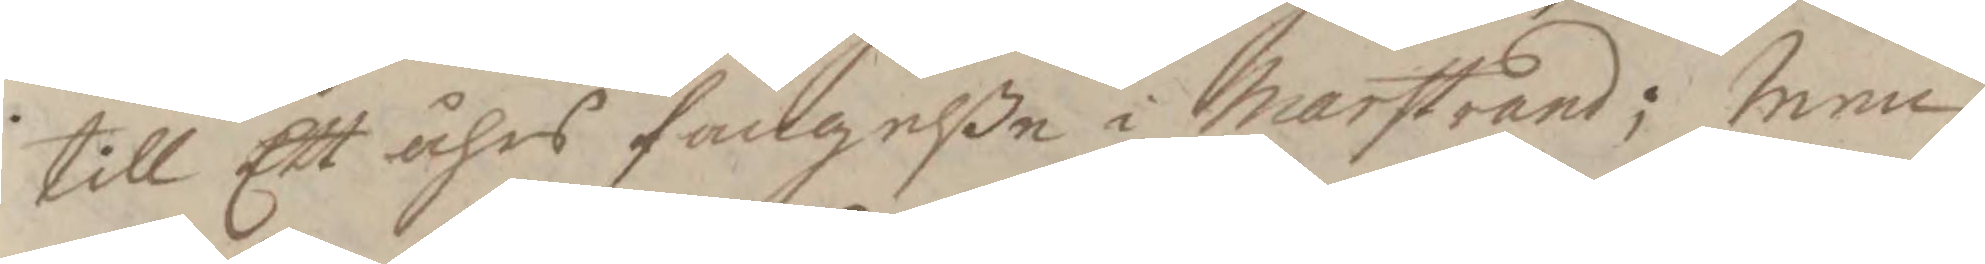till Ett års fängelße i Marstrand; Men
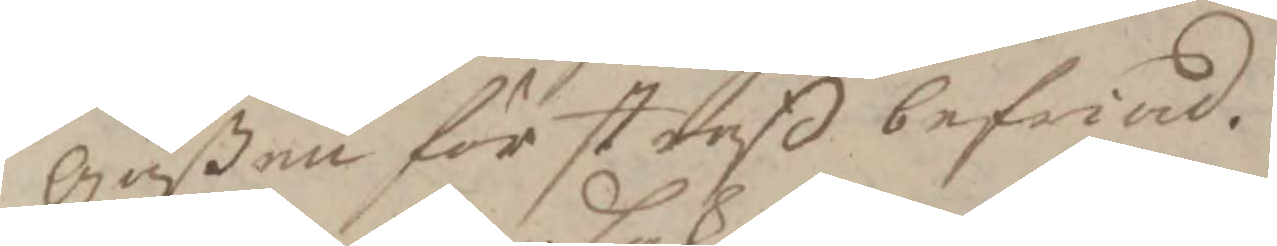gåßen förstraff befriad.
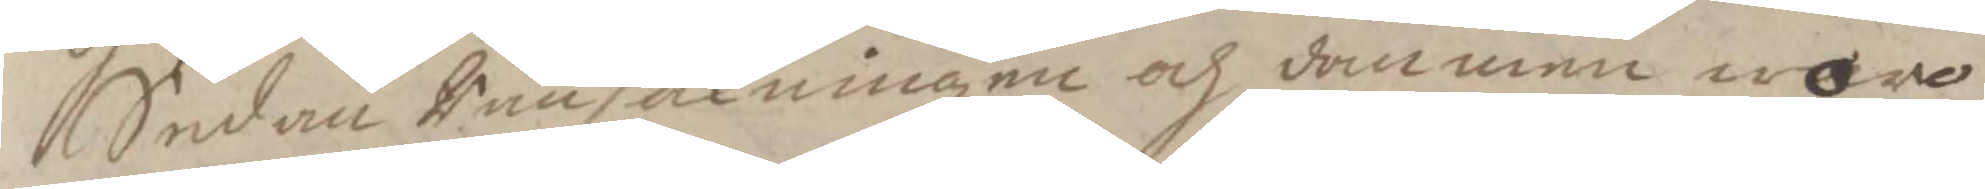Sedan Ransakningen och dommen woro
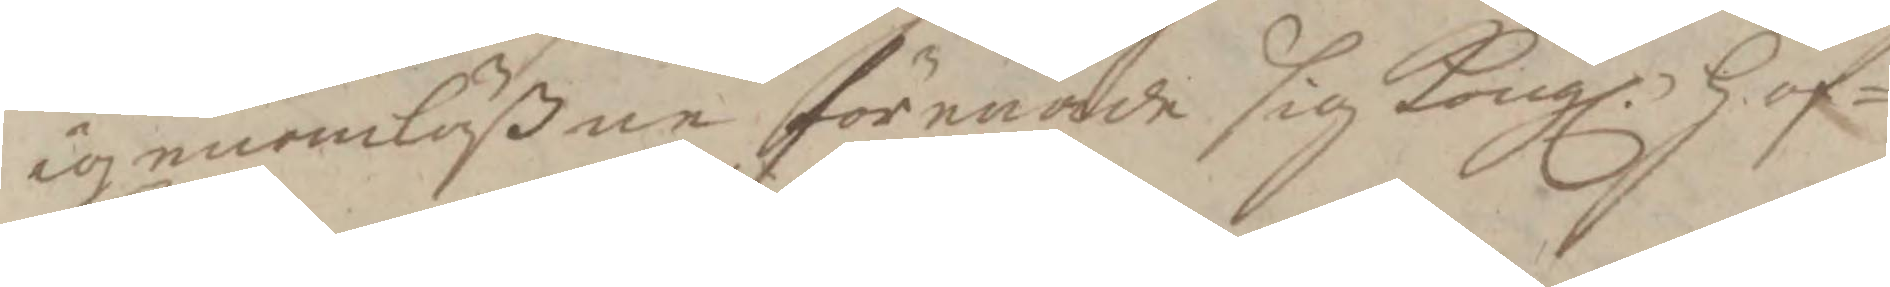igenomläßen förenade sig Kongl. Hof¬
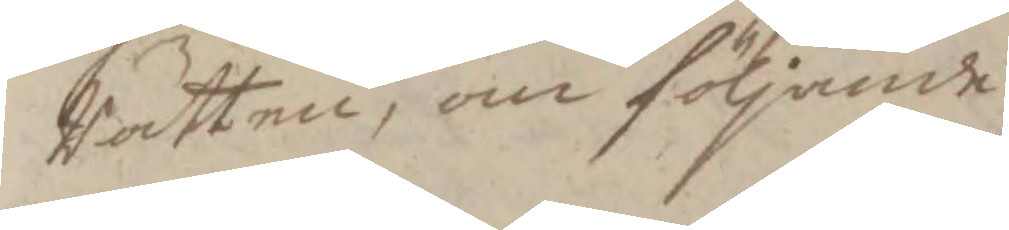Rätten, om följande
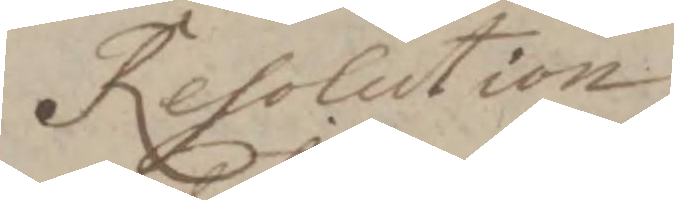Resolution
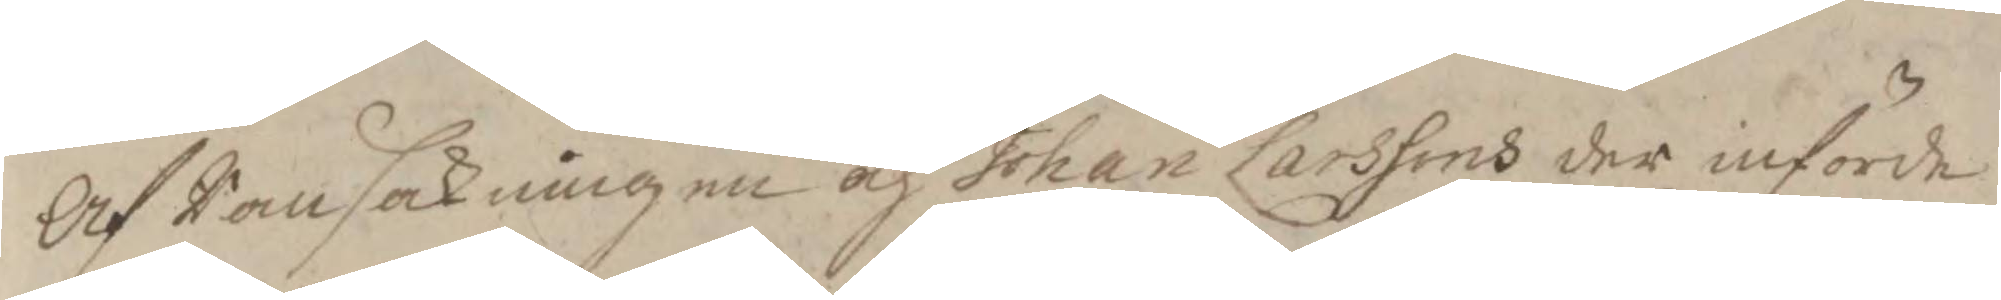Af Ransakningen och Johan Larssons der införde
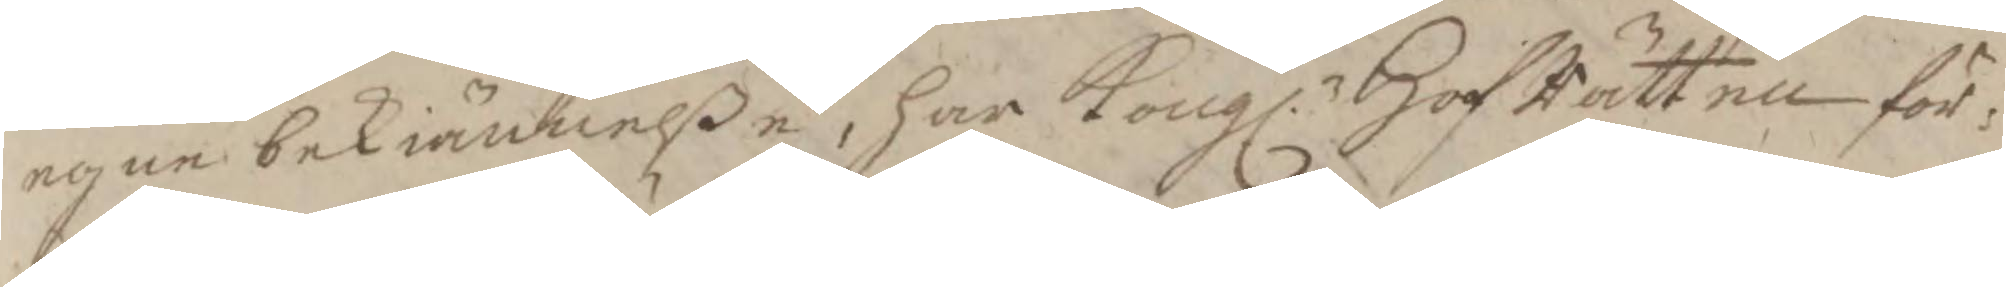egen bekiännelße, har Kongl. HofRätten för¬
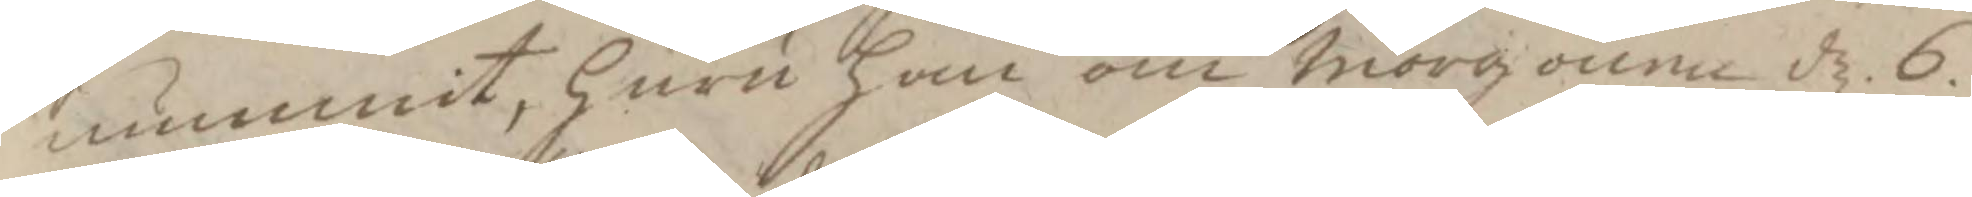nummit, huru han om morgonen d. 6.
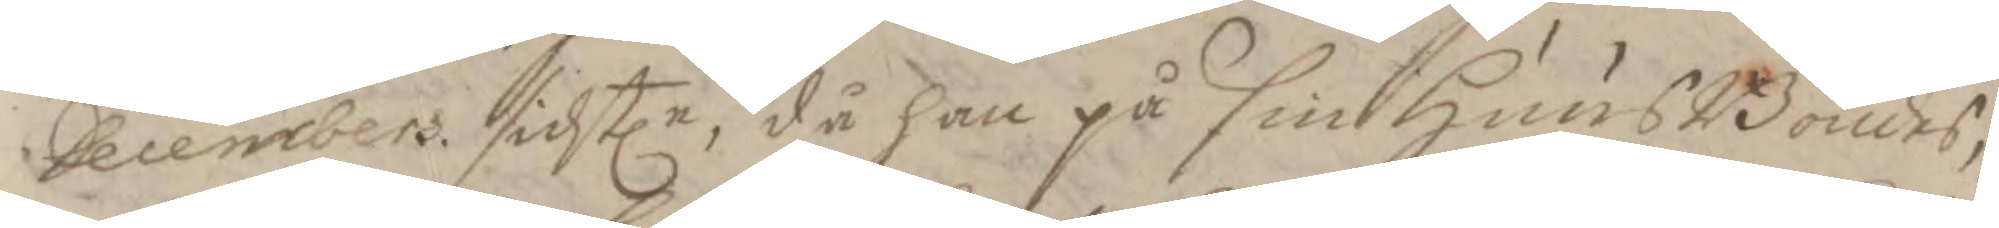Decembers sidstln, då han på sin HuusBondes,
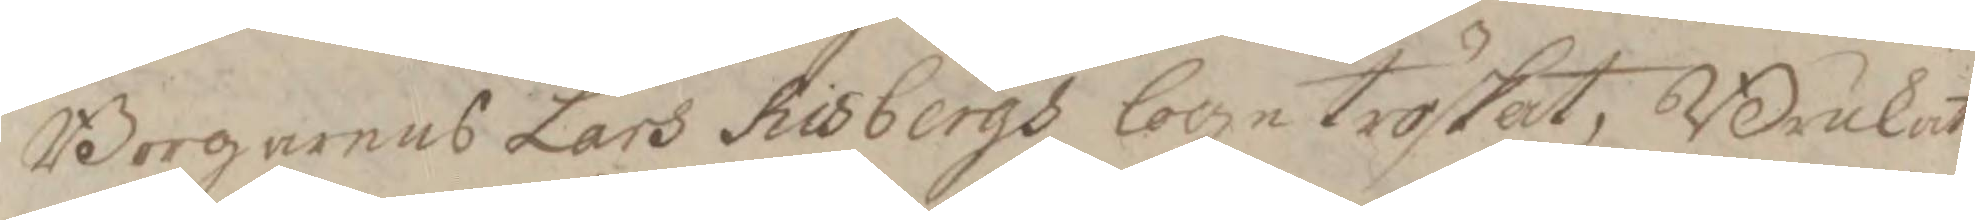Borgarens Lars Risbergs loge tröskat, Brukat
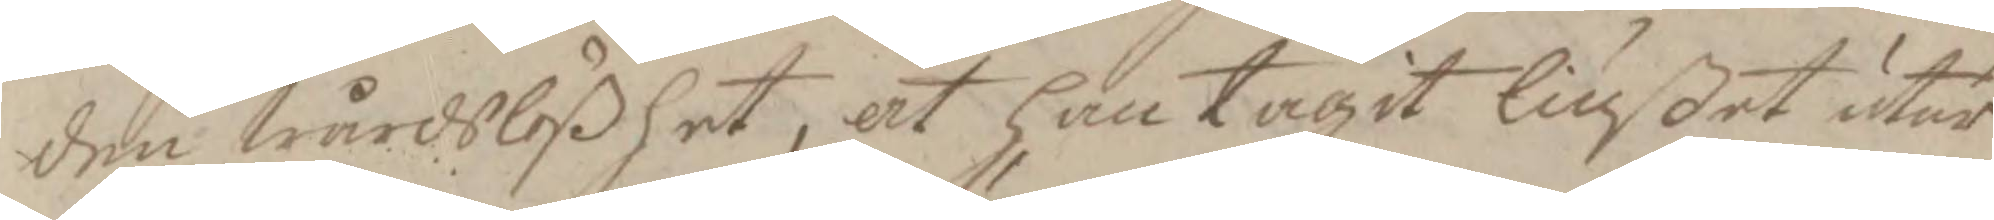den wärdslößhet, at han tagit liußet utur
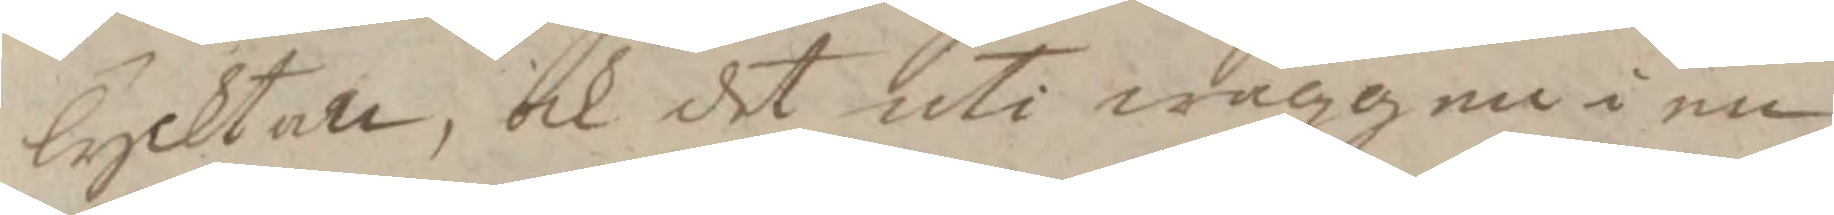lycktan, och det uti wäggen i en
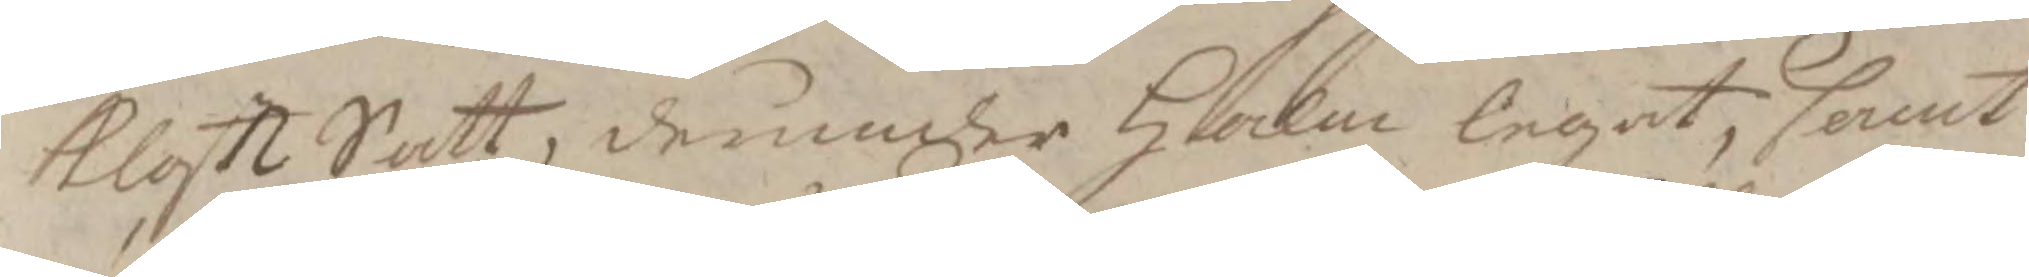klots Satt, derunder Halm legat, samt
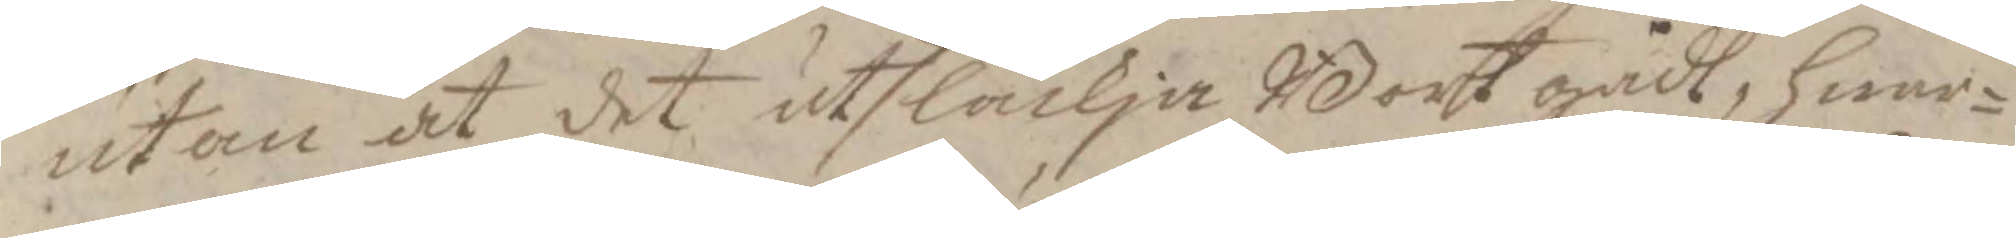utan at det utsläckja Bort gådt, hwar¬
